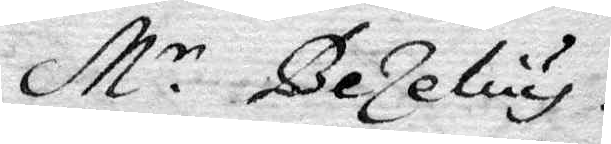M.r Bezelius.
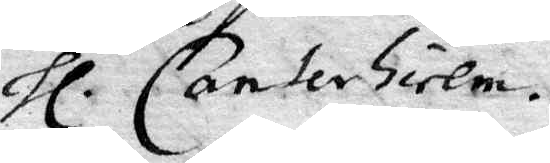Hl. Canterhielm.
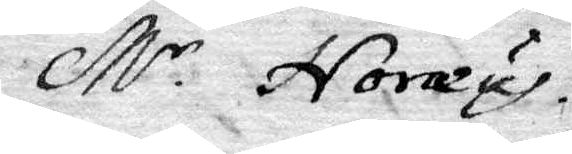M.r Noreus
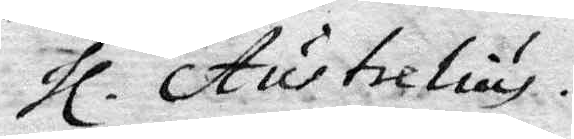Hl. Austrelius.
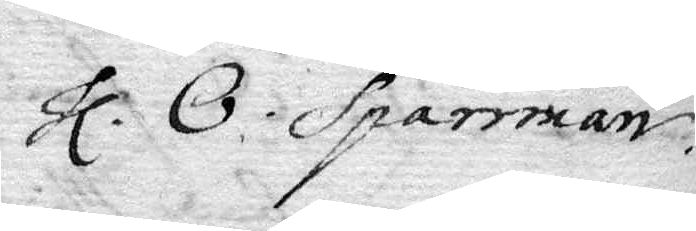Hl. O. Sparrman.
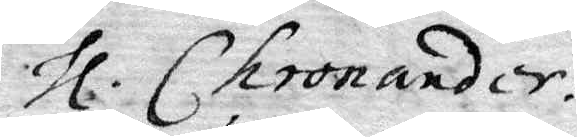Hl. Chronander.
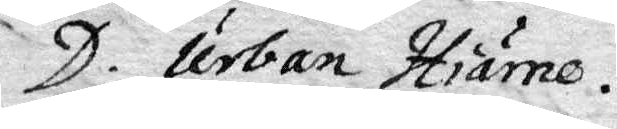D. Johan Hiäre.
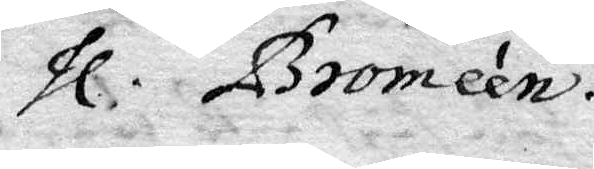Hl. Bromeen.
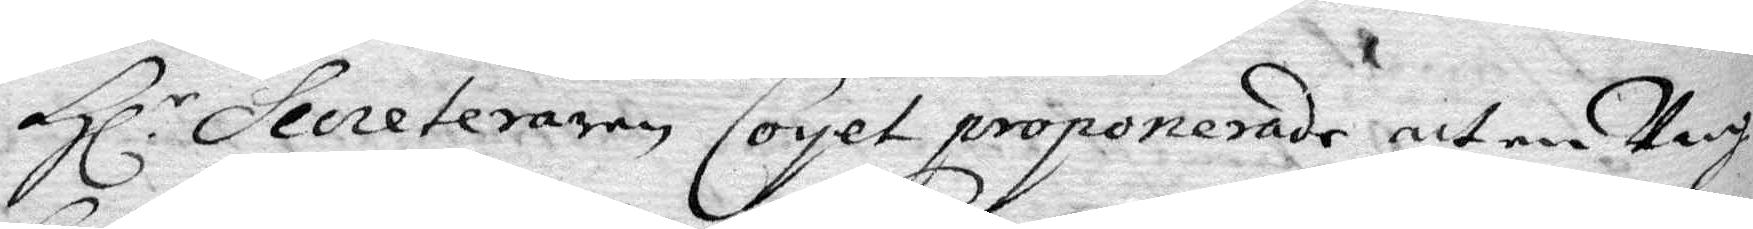Hl.r Secreteraren Coyet proponerade, att en Ung
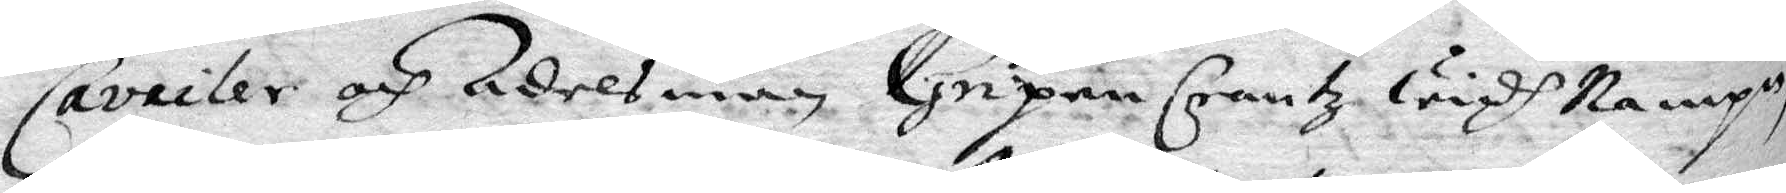Caviler och Adelsman Gripen Crantz widh Nampn
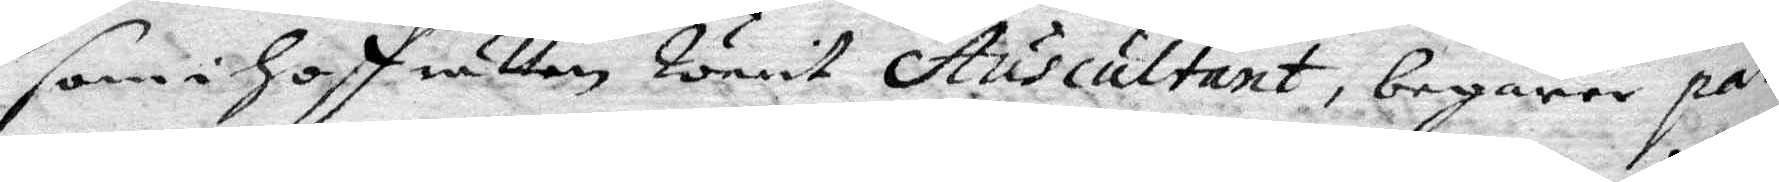som i Hoffrätten warit Ausculant, begärer par
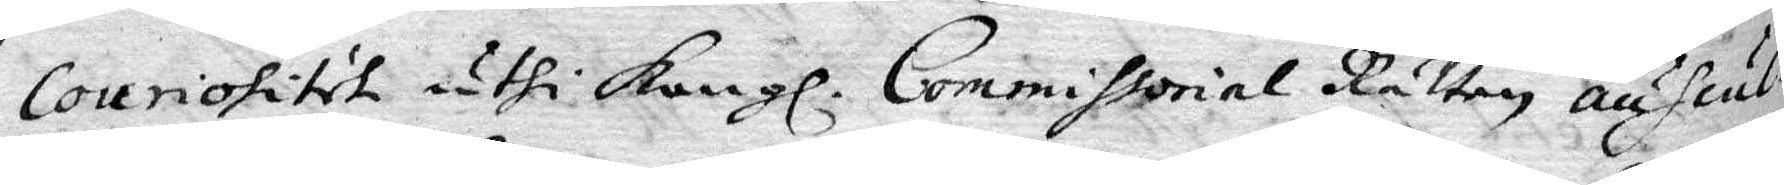Conriositet uthi Kongl. Commissorial Rätten auscul¬
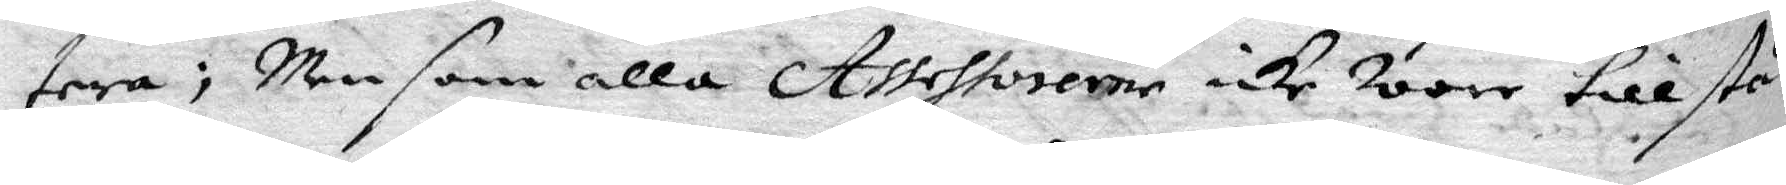tera; Men som alla Assessorerne icke woro tillstä¬
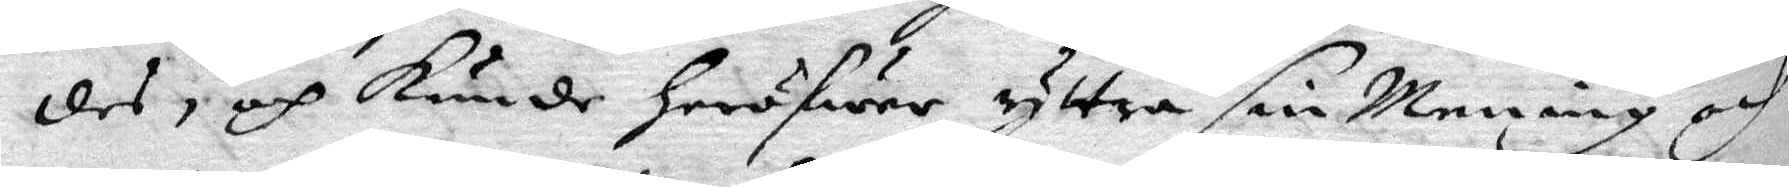des, och kunde häröfwer yttra sin Mening och
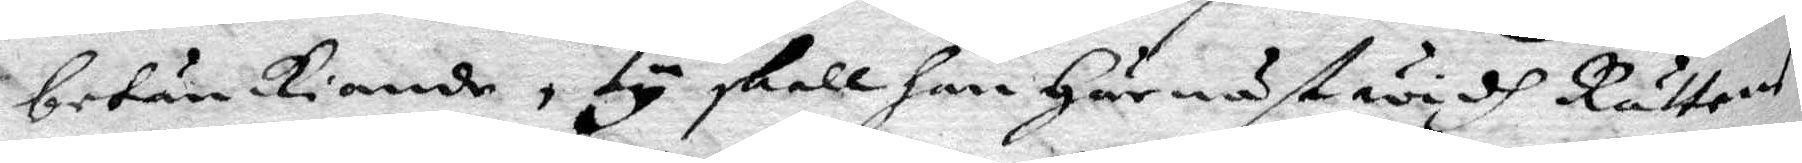betänkiande, ty skall han Härnäst widh Rättens
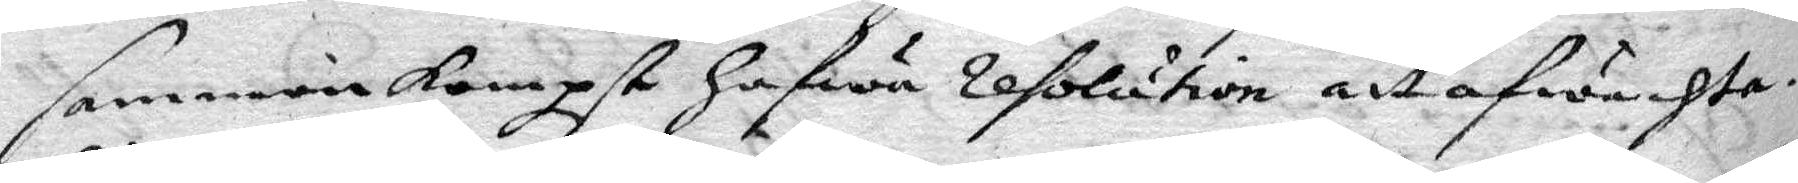sammankompst hafwa resolution att afwachta.
